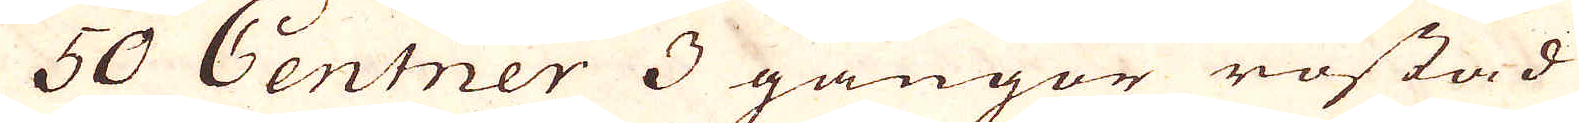50 Centner 3 gångor rostad
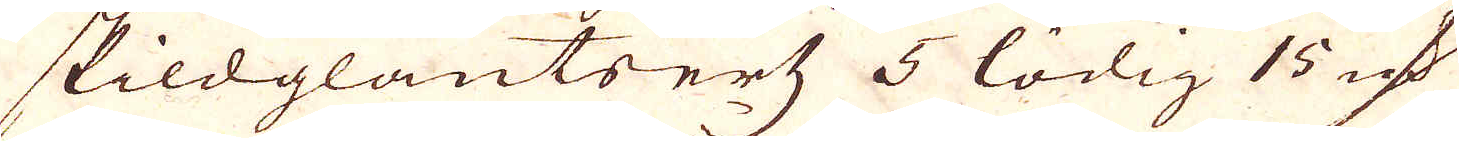skildglantsertz 5 lödig 15 qv:r
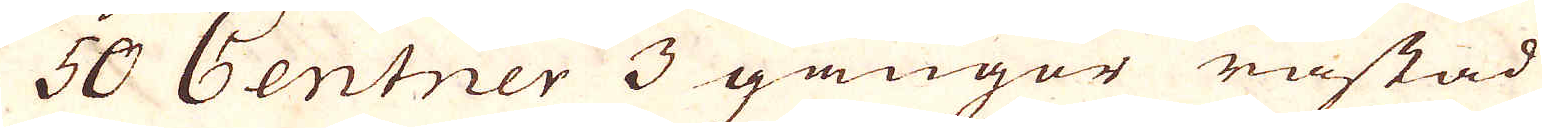50 Centner 3 gångor råstad
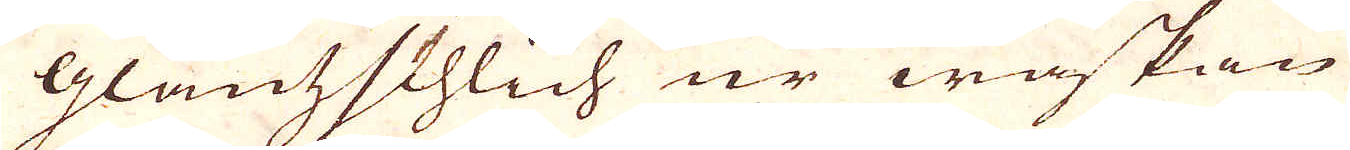Glantzschlich ur wäskan
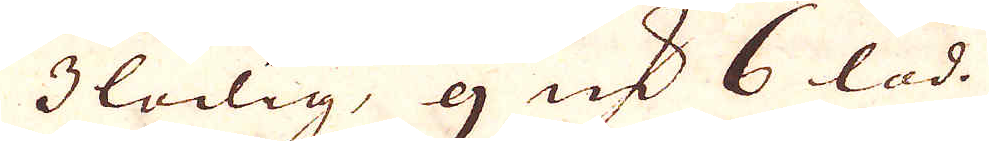3 lödig, 9 qv:r 6 lod.
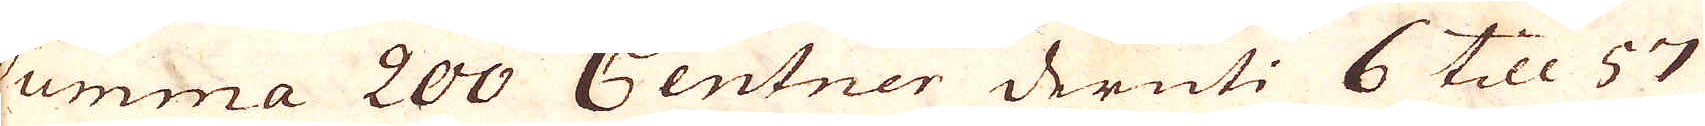Summa 200 Centner deruti 6 till 57
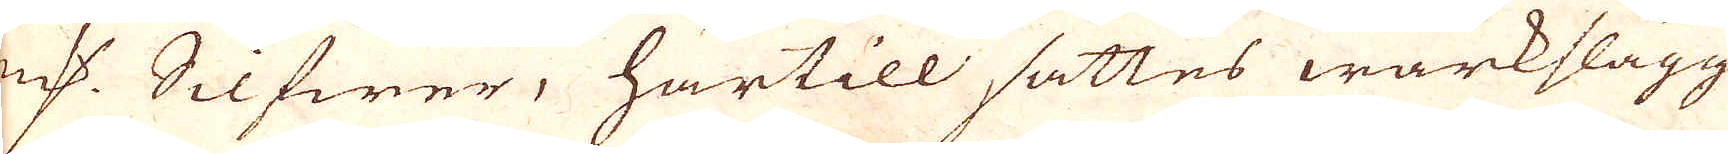qv:r Silfwer, härtill sättes wärkslagg
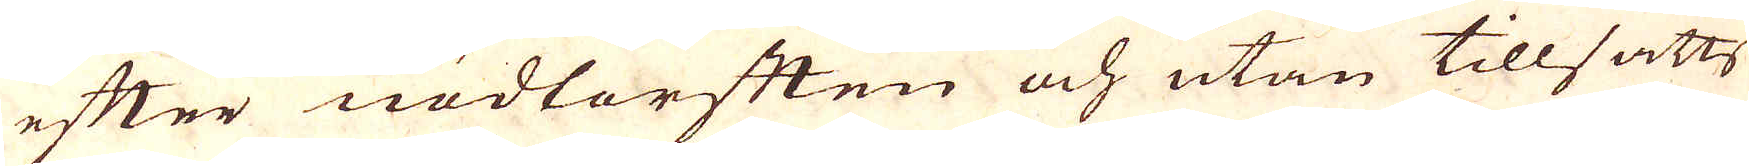efter nödtorften och utan tillsatts
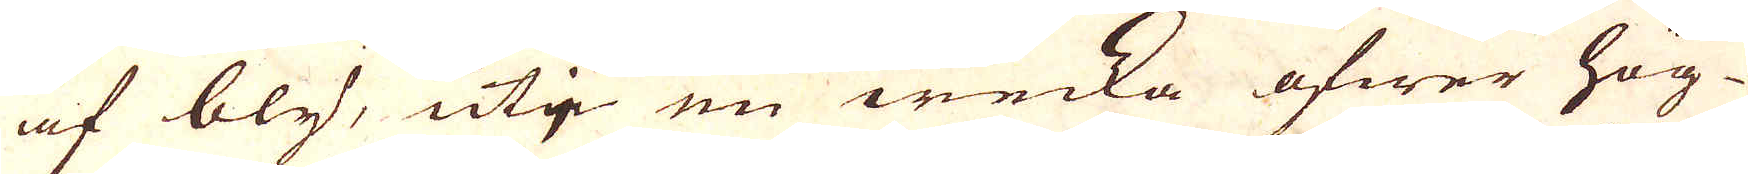af bly, utj en wecka öfwer hög-
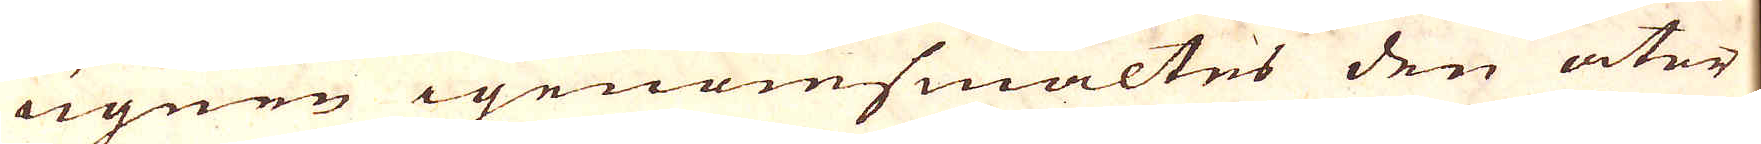ugnen igenomsmältes den åter
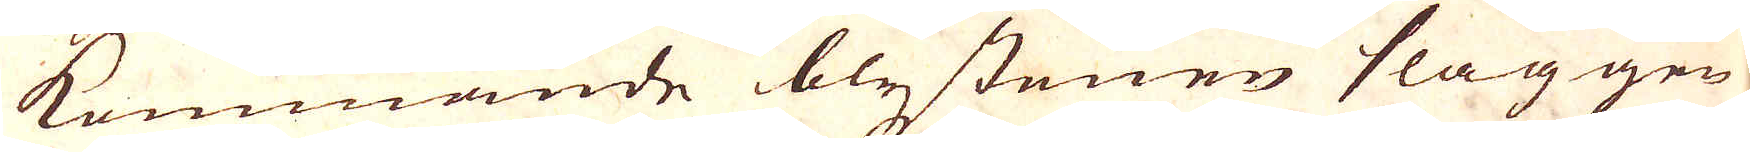kommande blystenen slaggen
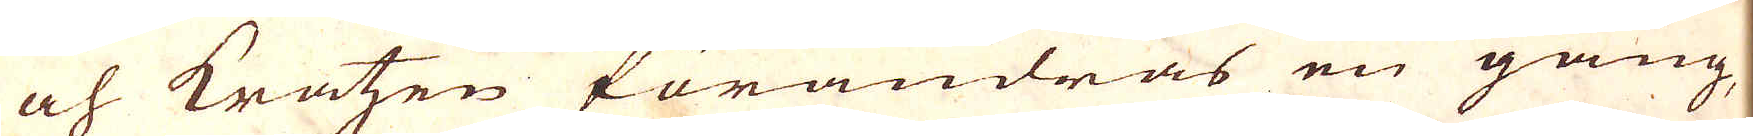och kratzen förändras en gång
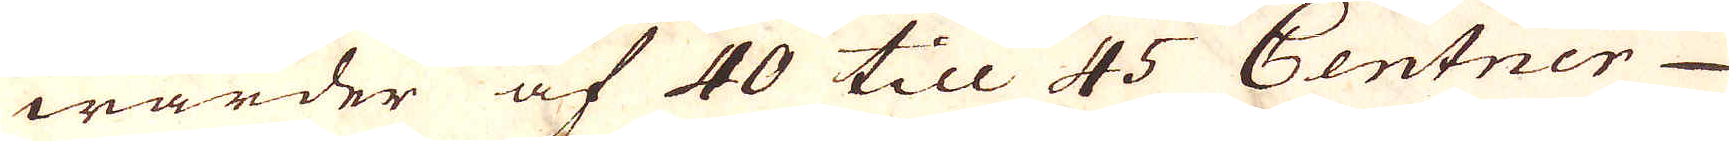warder af 40 till 45 Centner
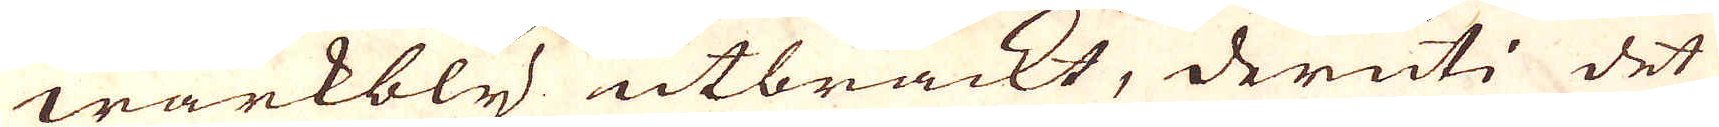wärkbly utbrackt, deruti det
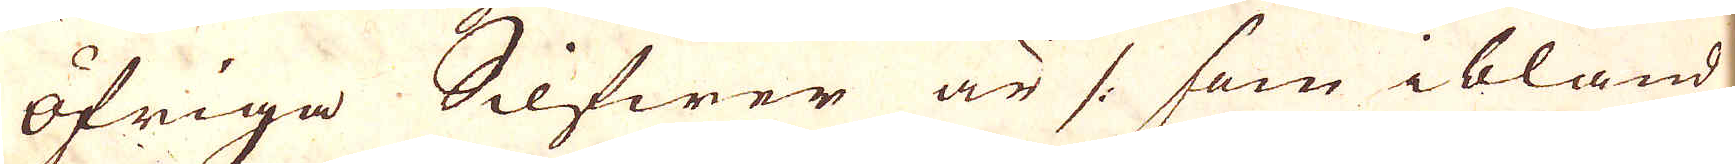öfriga Silfwer är /: som ibland
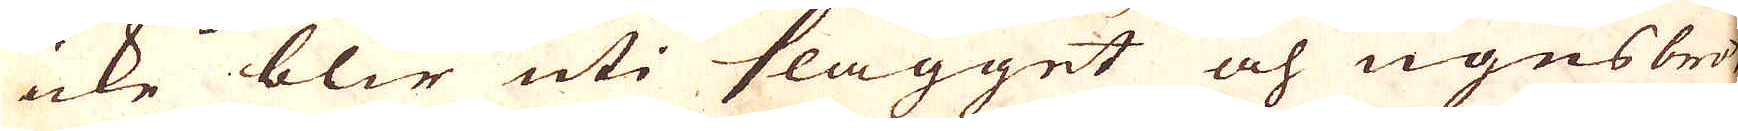icke blir uti slagget och ugnsbrös-
